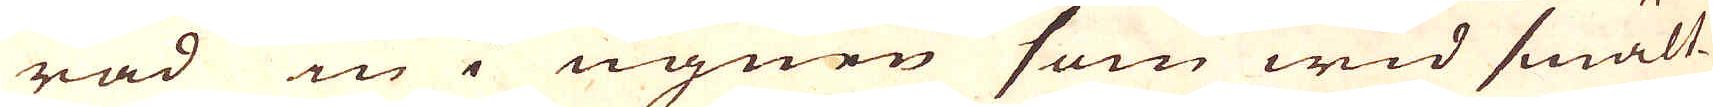rad in i ugnen som wid smält-
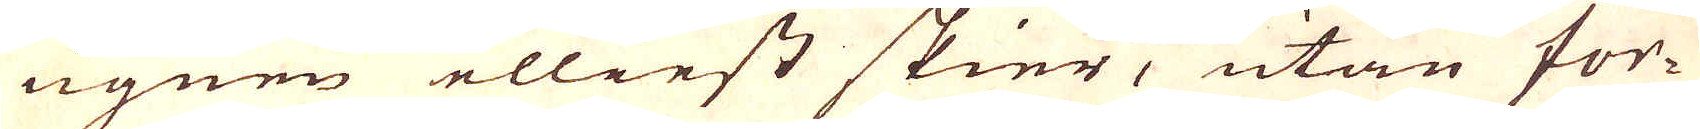ugnen elliest skier, utan for-
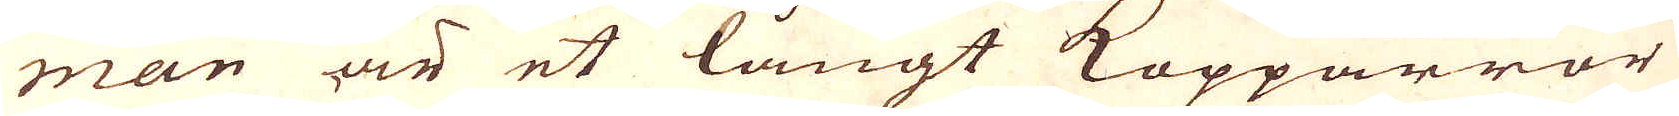man är et långt Kopparrör
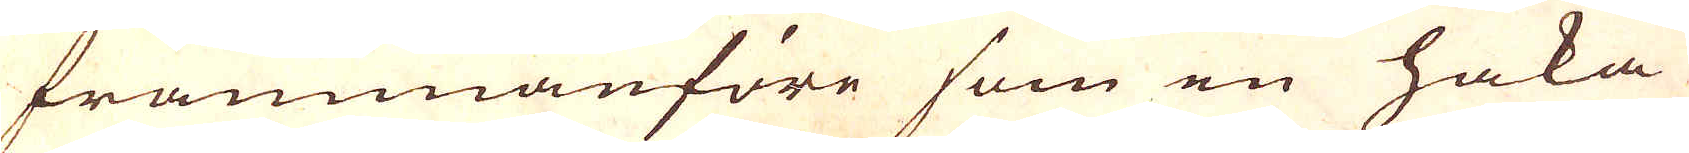frammanföre som en haka
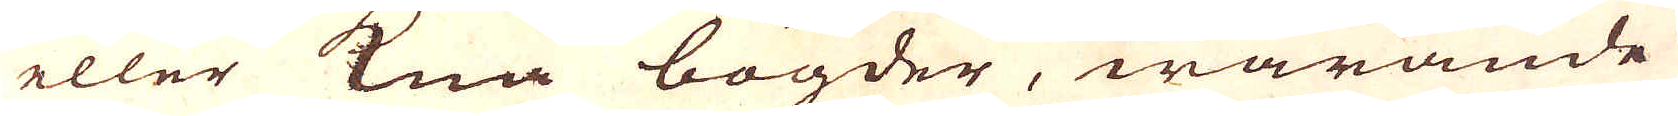eller Knä bögder, warande
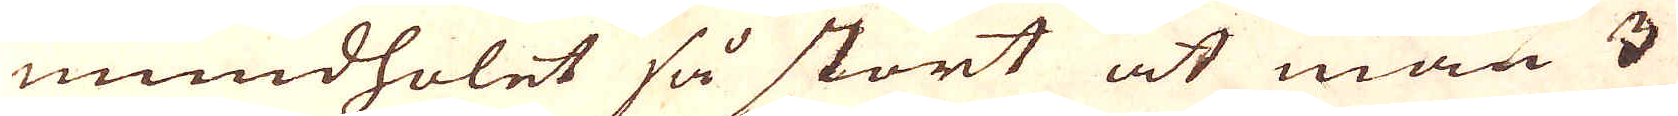mundholet så stort at man 3
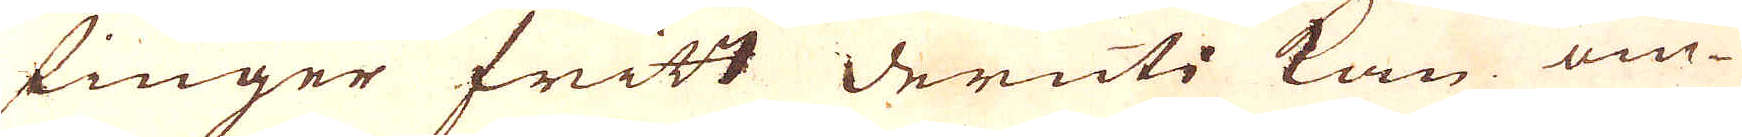finger fritt deruti kan om-
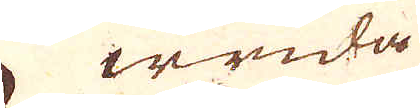wrida
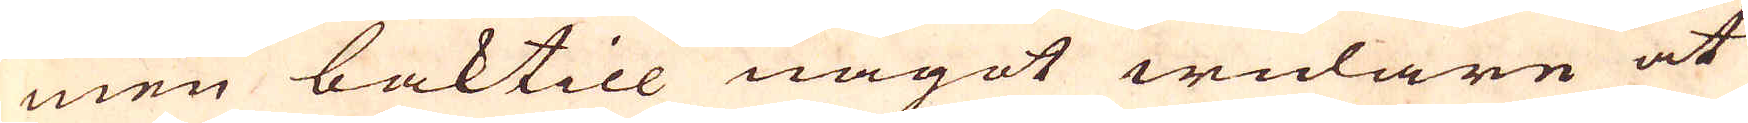men baktill något widare at
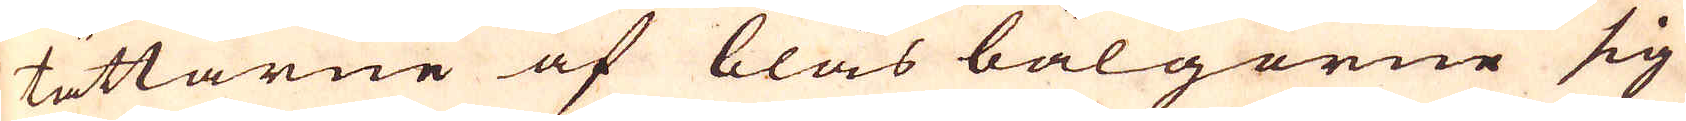tättarne af blås bälgorne sig
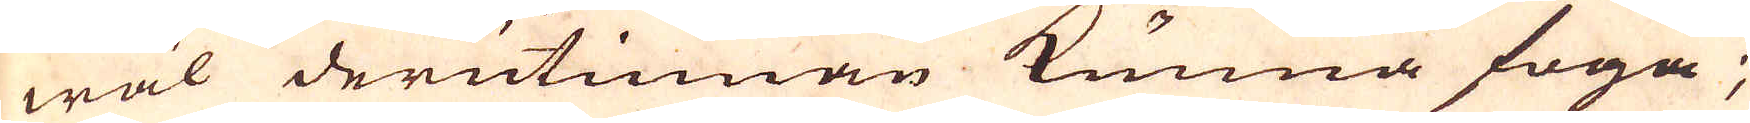wäl derutinnan kunna foga;
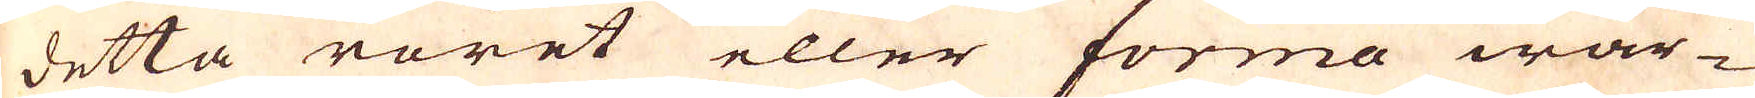detta röret eller forma war-
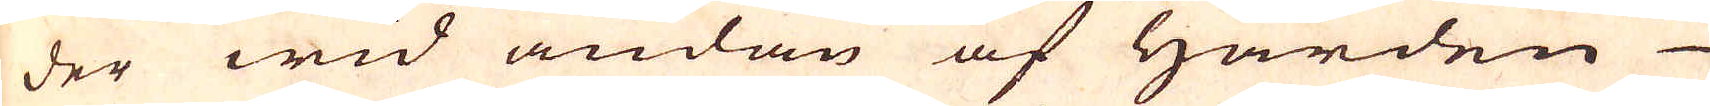der wid ändan af Härden
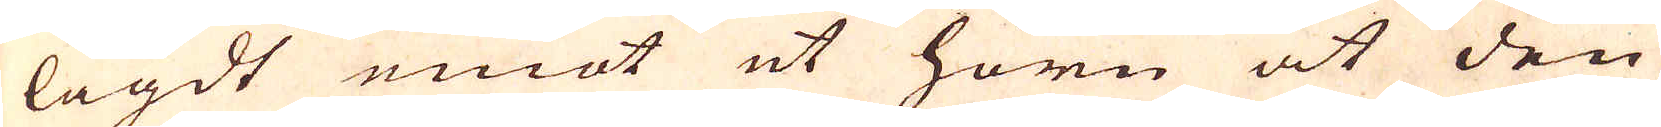lagdt emot ut hörn at den
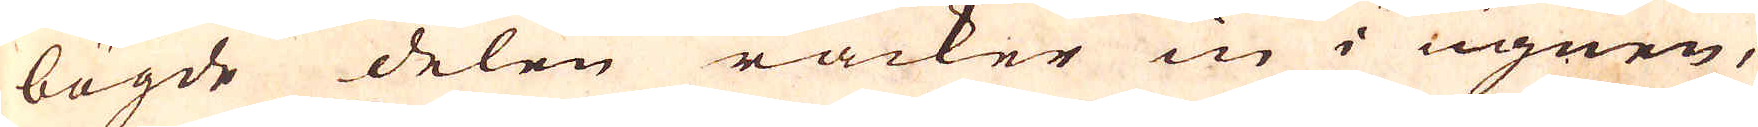bögde delen räcker in i ugnen,
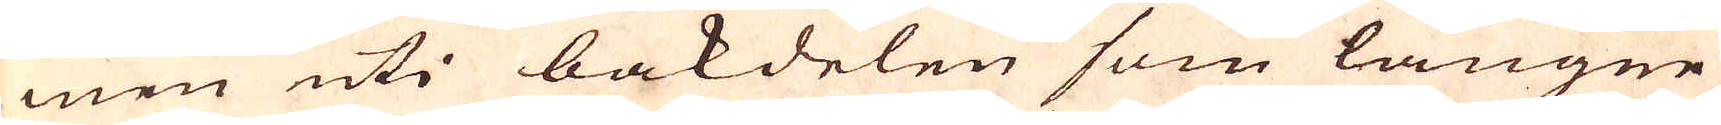men uti bakdelen som längre
